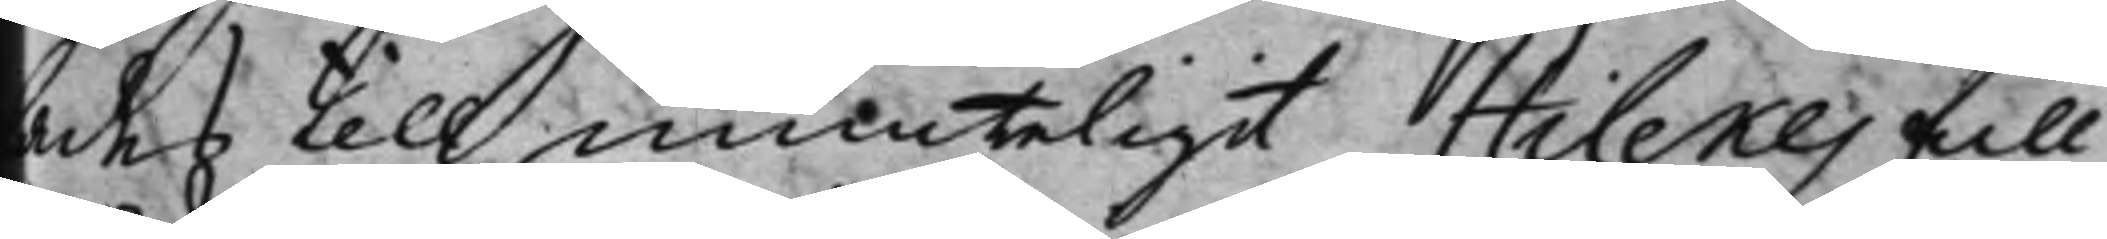lades till munteligit Hilekes full¬
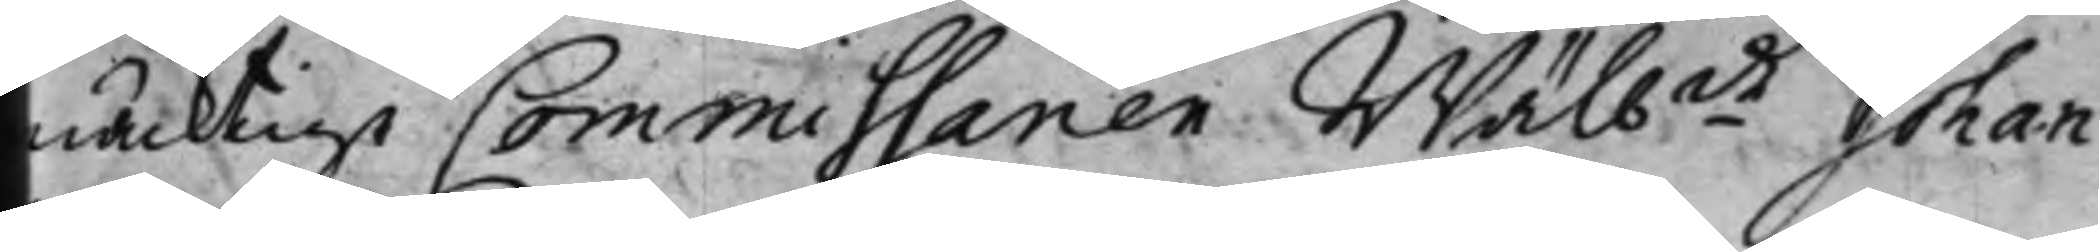mäcktige Commissarien Wälbde Johan
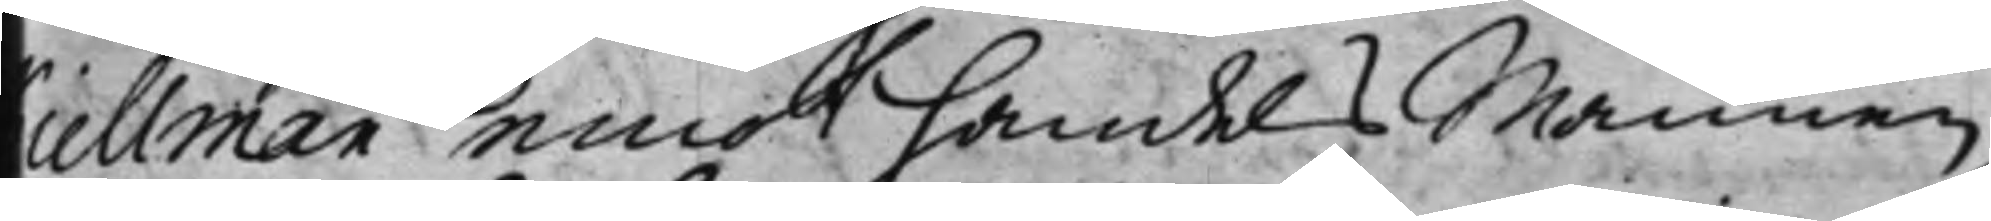Kiellman emot handels Mannen
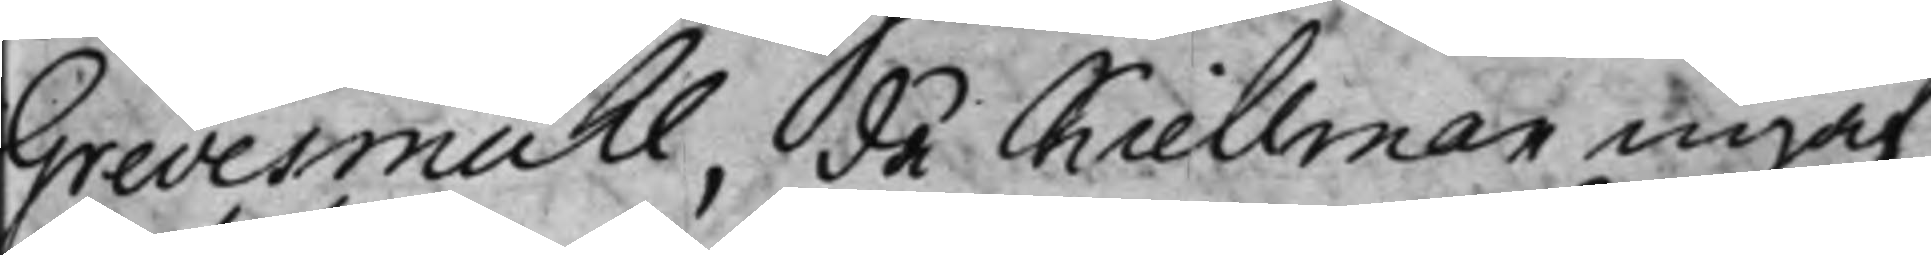Grevesmuhl, då Kiellman ingaf
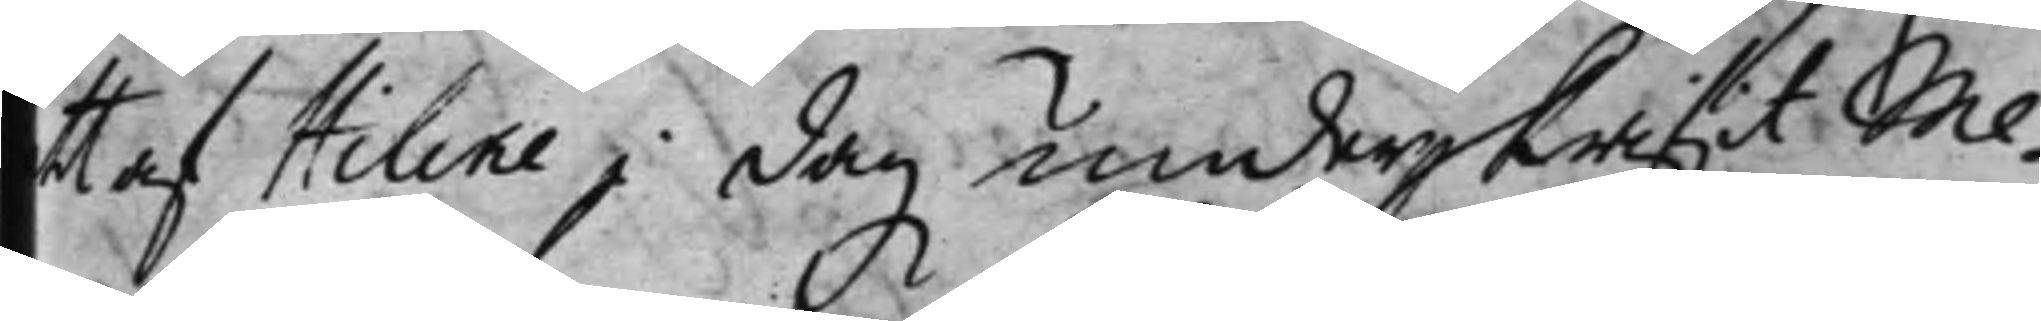ett af Hileke i dag underskrifit Me¬
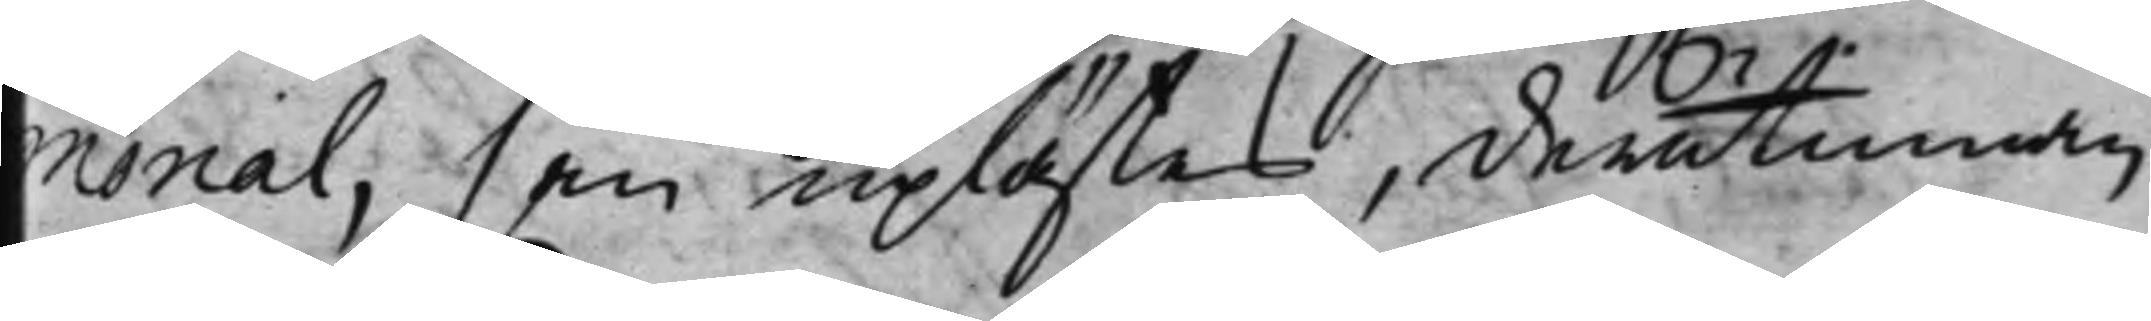morial, som uplästes, derutinnan
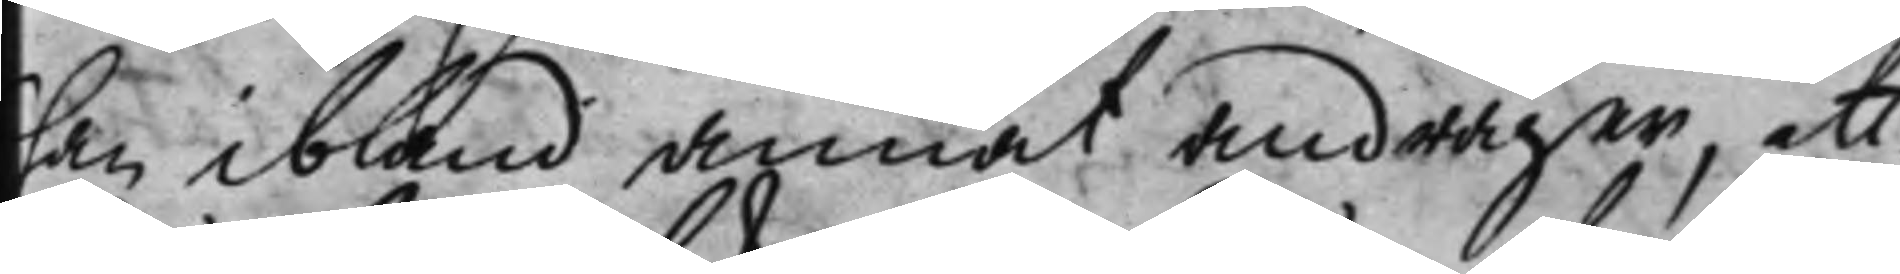han ibland annat andrager, att
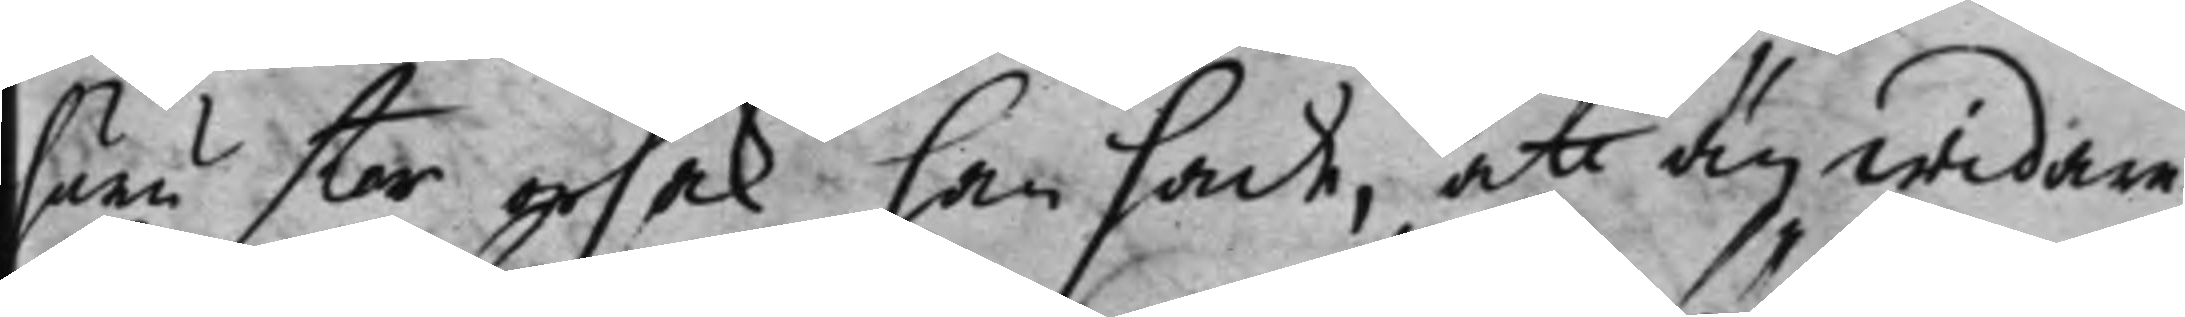huru stor sak, han hade, att äy widare
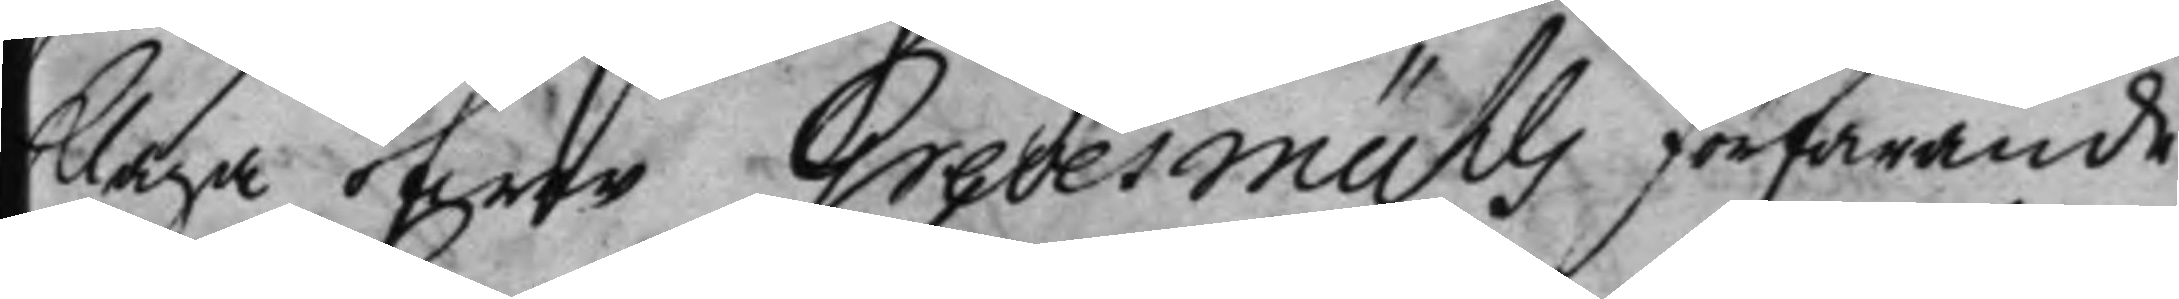klaga öfwer Grevermühls förfarande
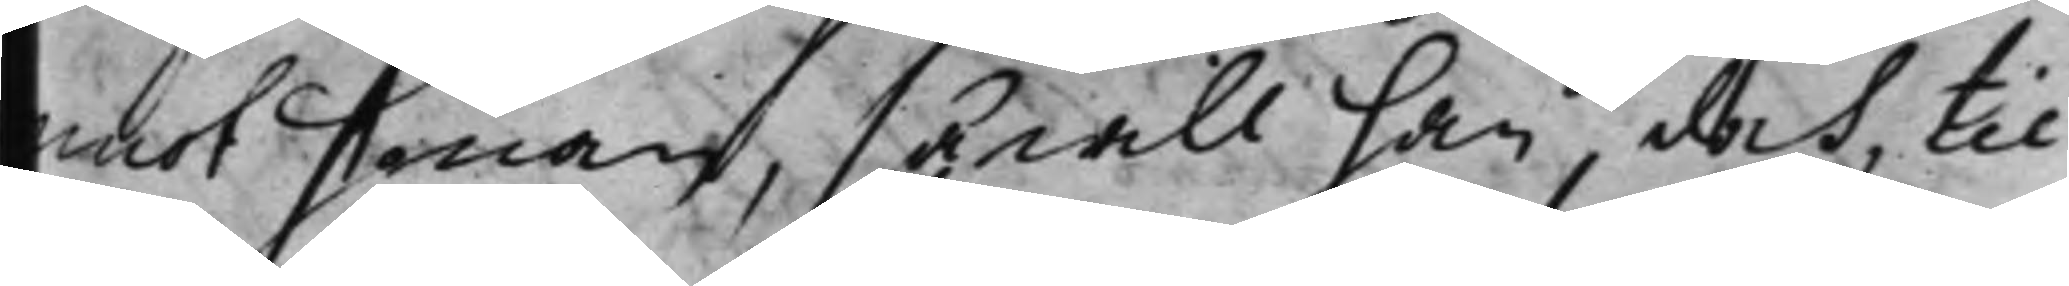emot honom, så will han doch til
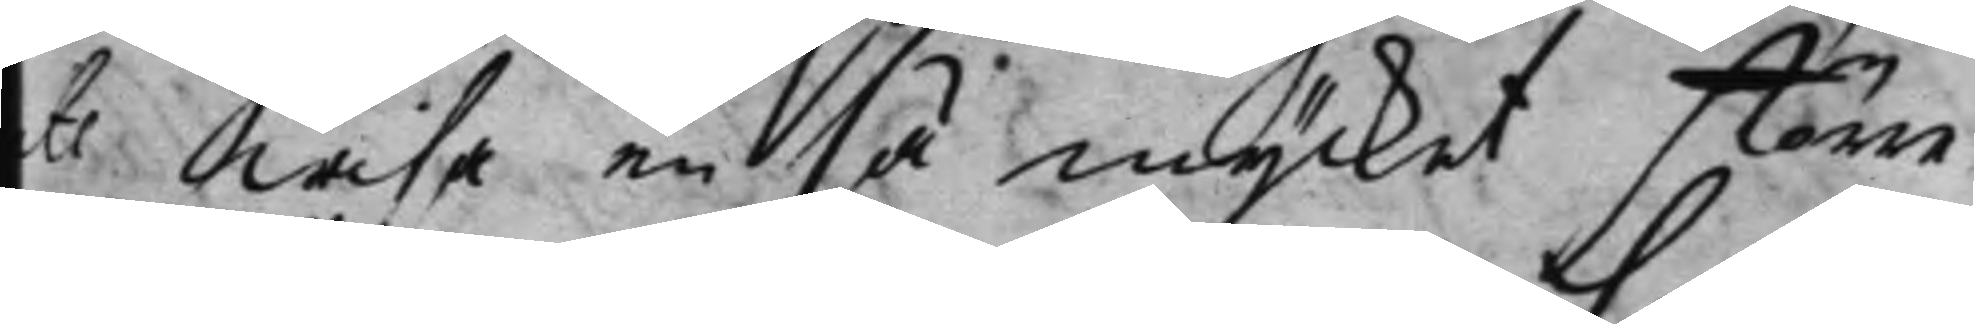ts wisa en så mycket störe
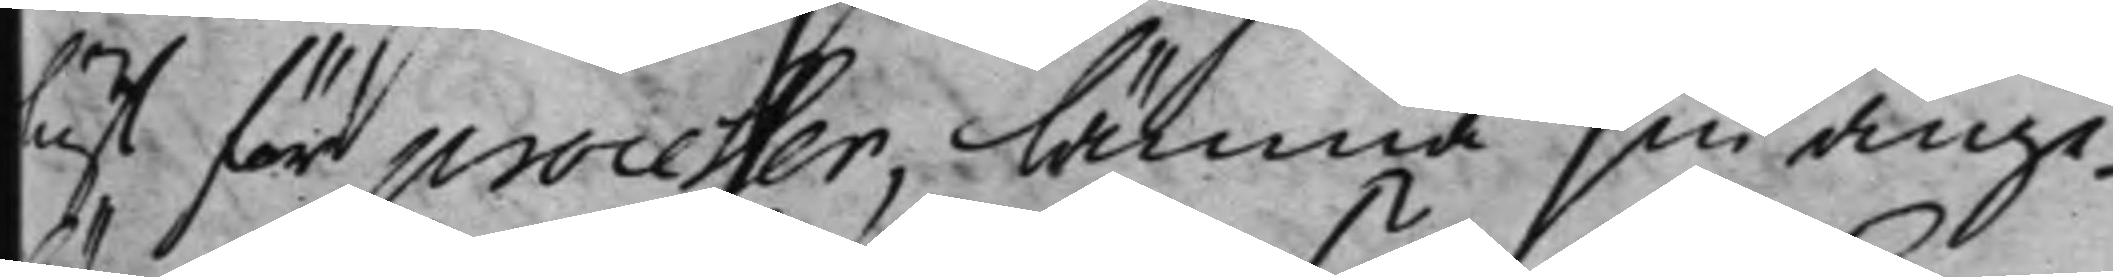lust för processer, lämna sin ange¬
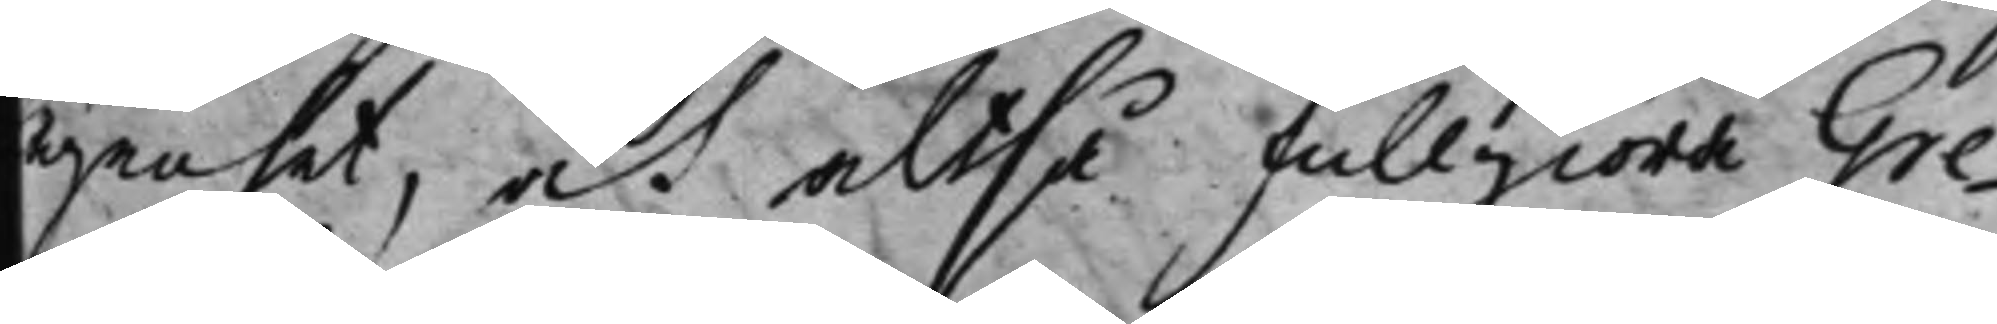lägenhet, at altså fullgiöra Gre¬
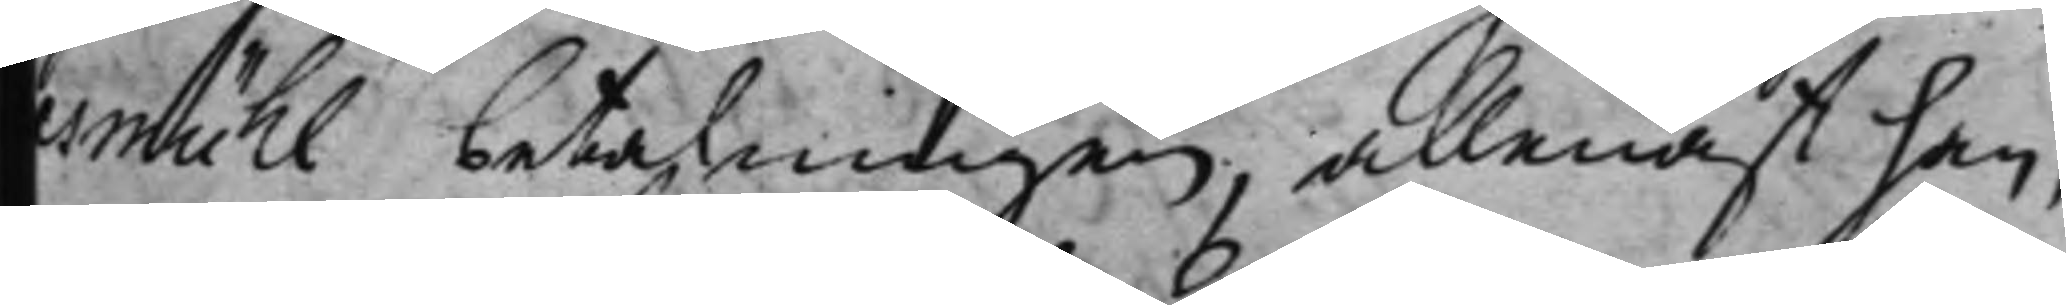esmühl betalningen, allenast han,
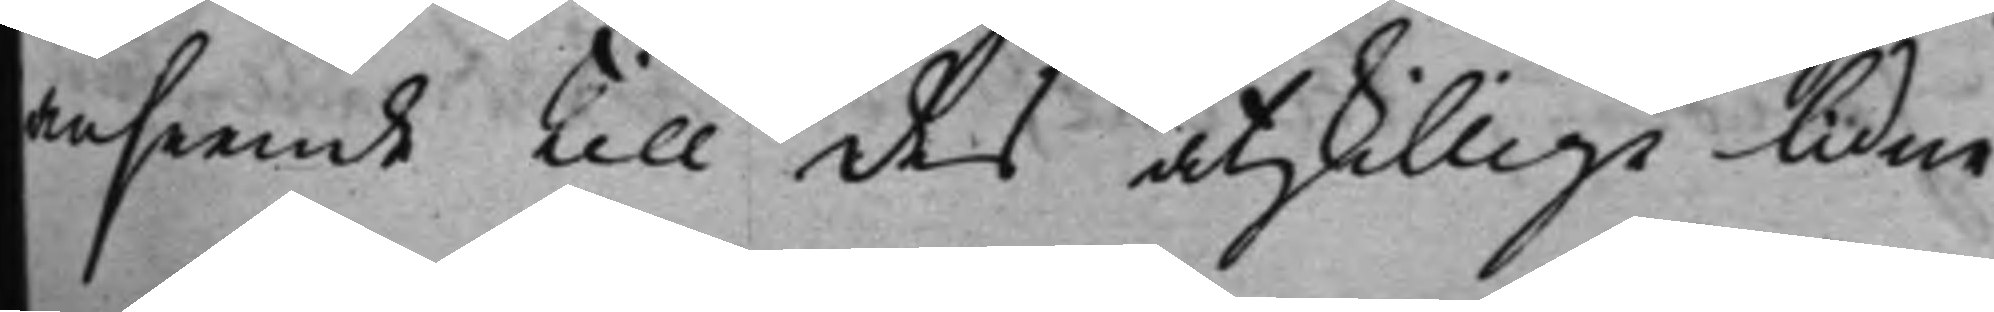anseende till des åtskillige lidne
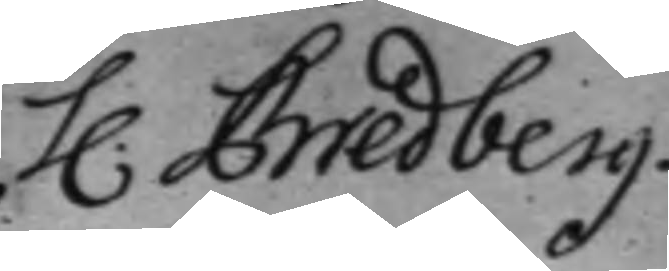H. Bredberg
